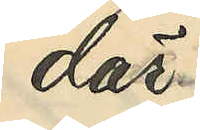där
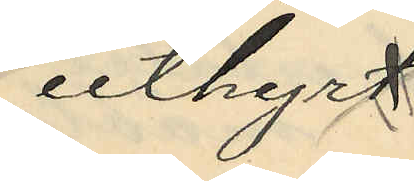uthyrt
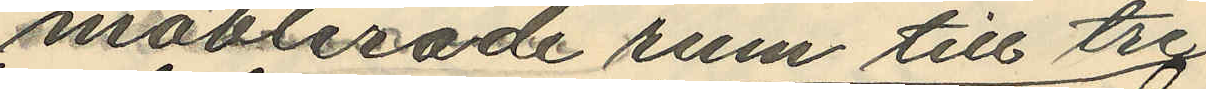möblerade rum till tre
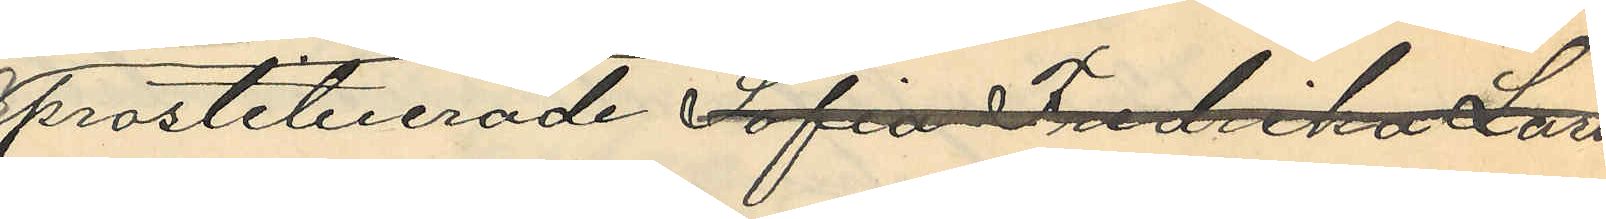prostituerade Sofia Fredrika Lars¬
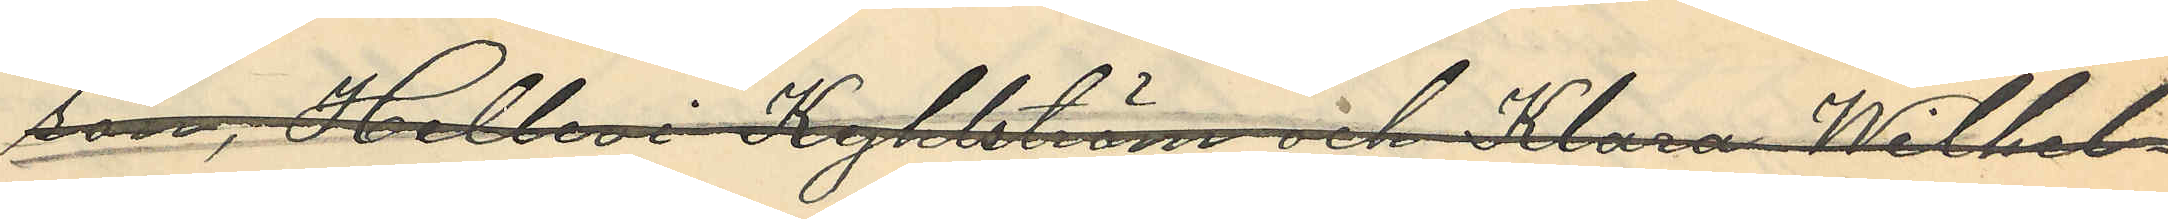son, Hellevi Kyhlström och Klara Wilhel¬
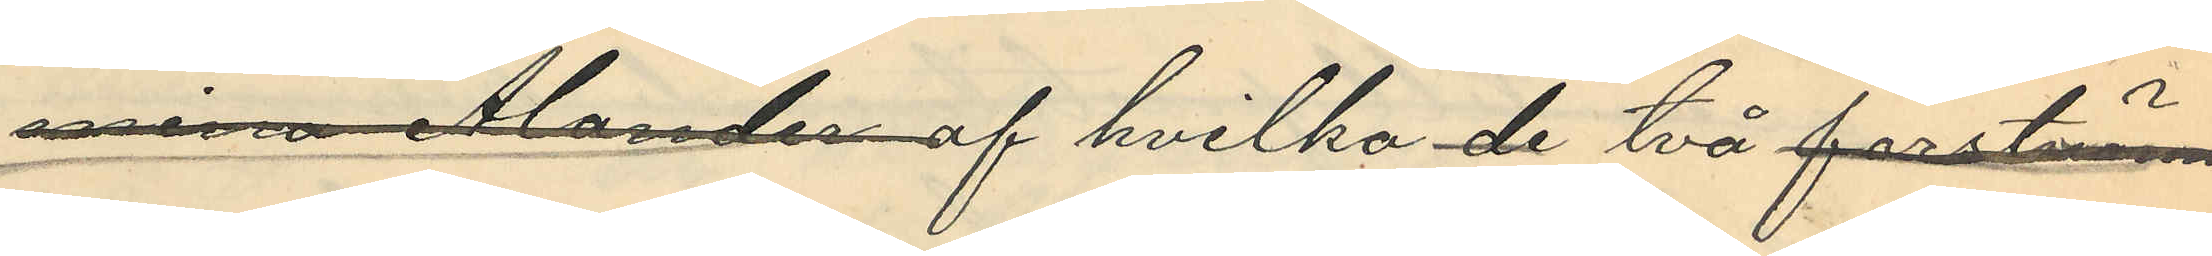mina Ålander af hvilka de två förstnäm¬
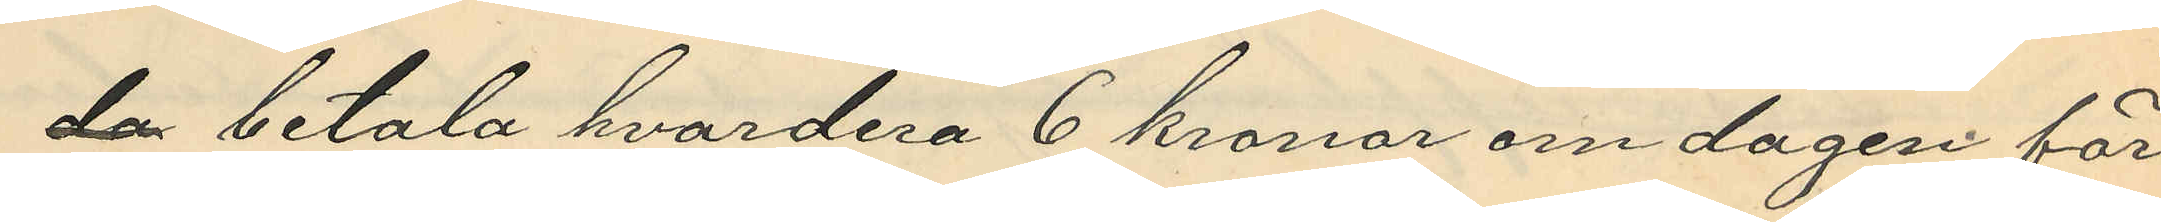da betala hvardera 6 kronor om dagen för
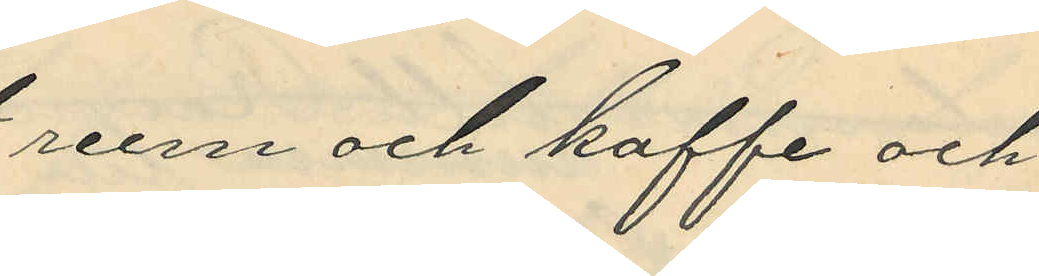rum och kaffe och
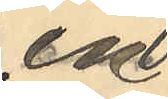en
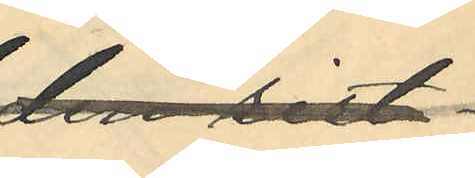den sist-
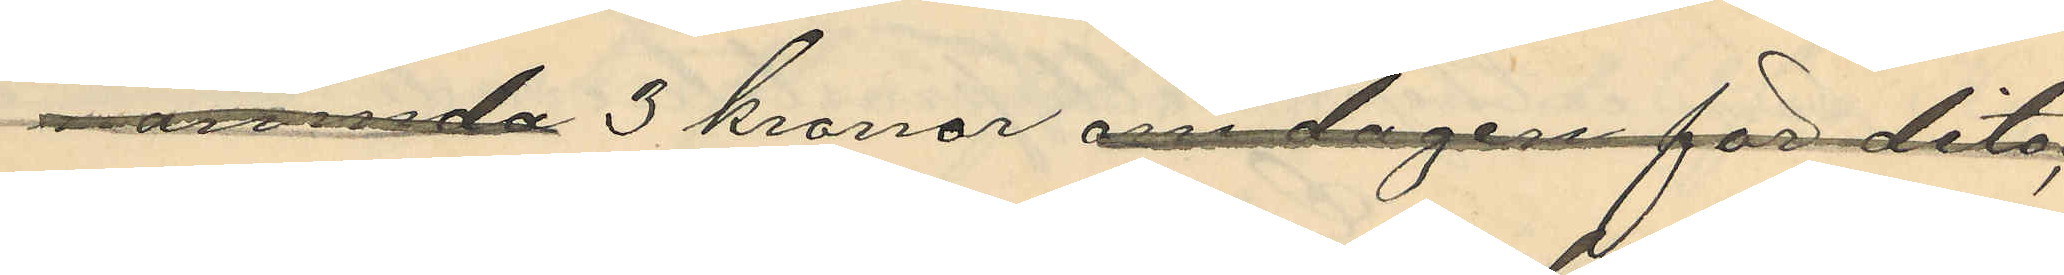nämnda 3 kronor om dagen för dito;
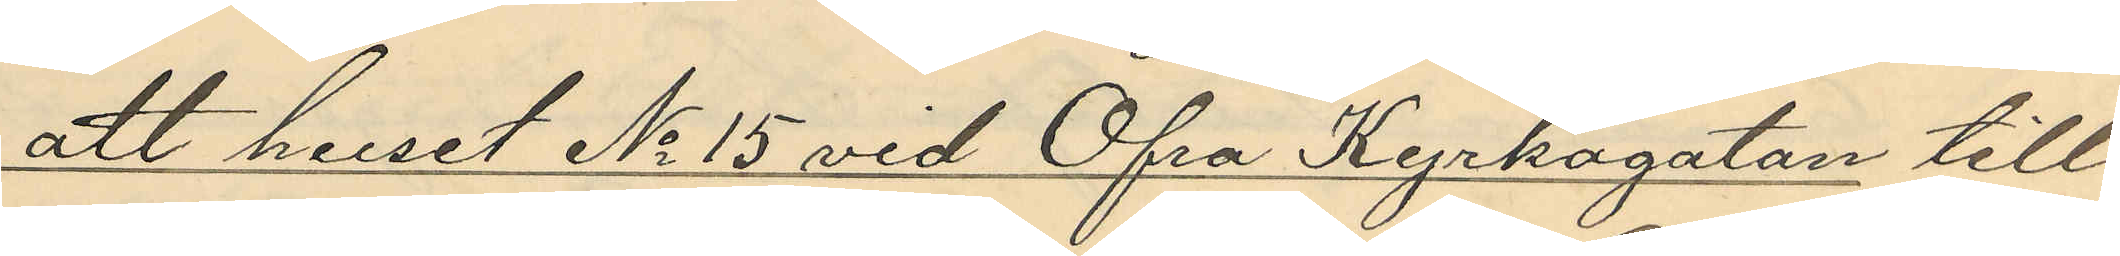att huset No 15 vid Öfra Kyrkogatan till¬
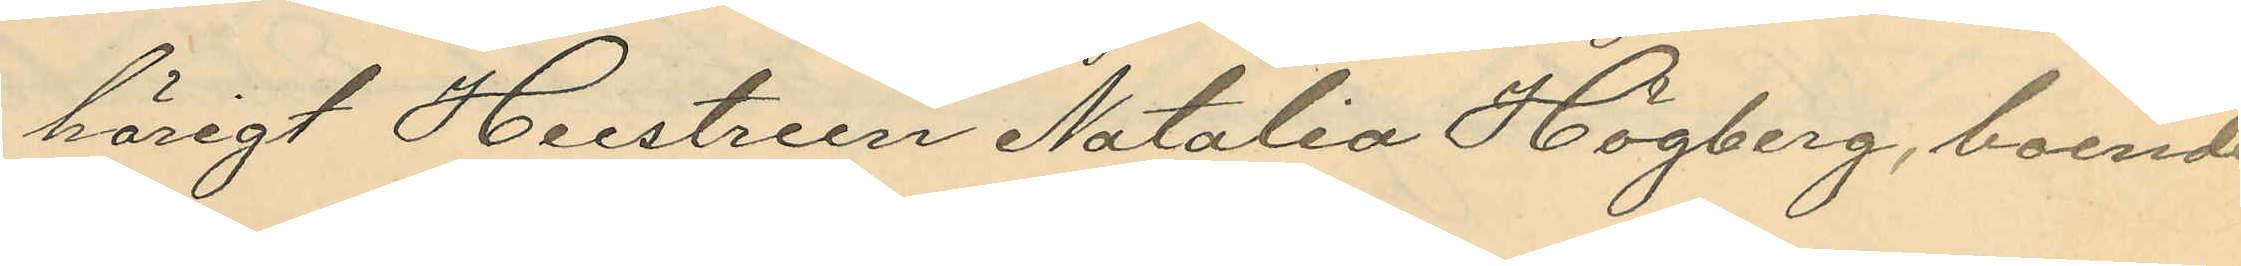hörigt Hustrun Natalia Högberg, boende
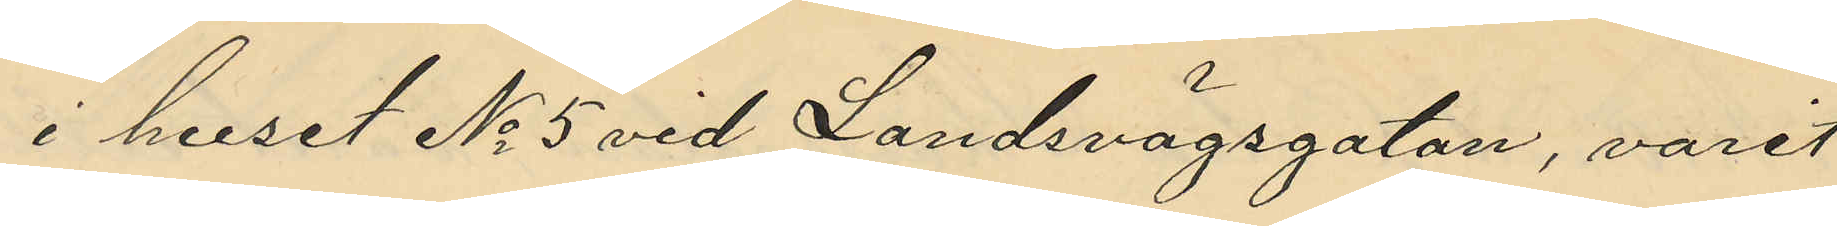i huset No 5 vid Landsvägsgatan, varit
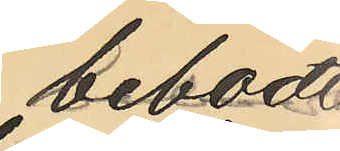bebodt
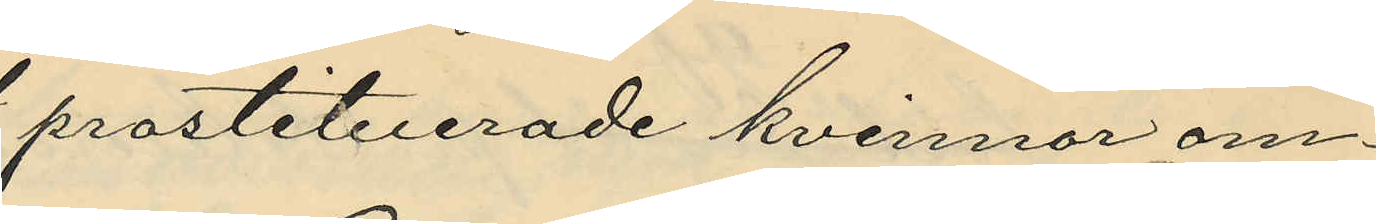prostituerade kvinnor om¬
